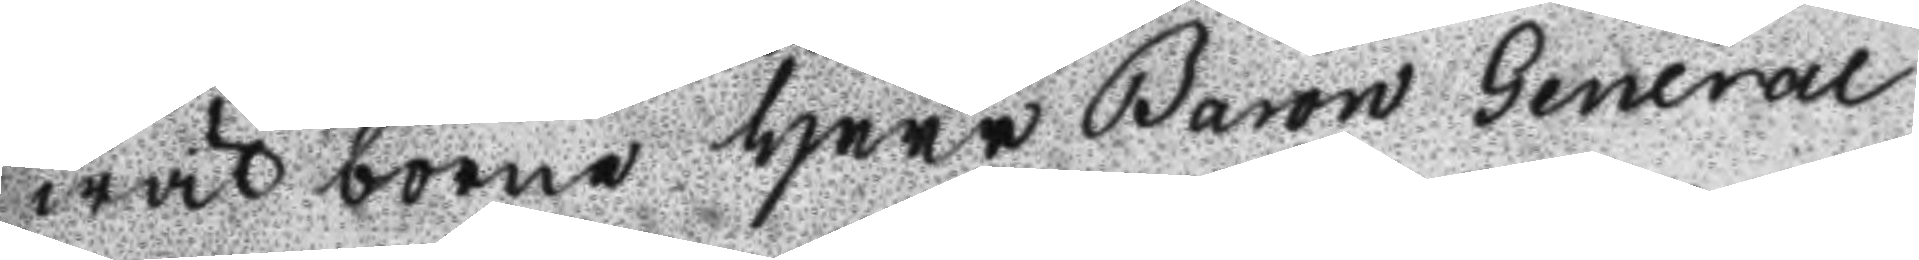wäl borne Herr Baron General
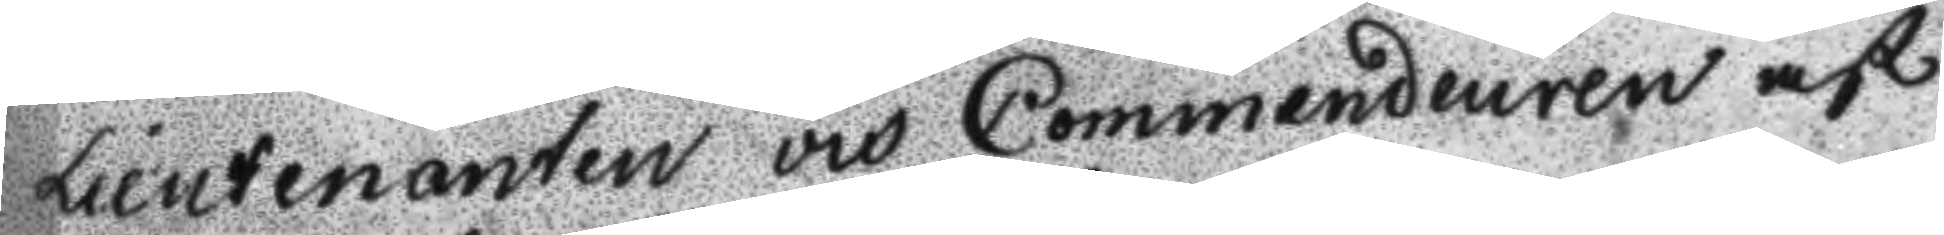Lieutenanten och Commendeuren af
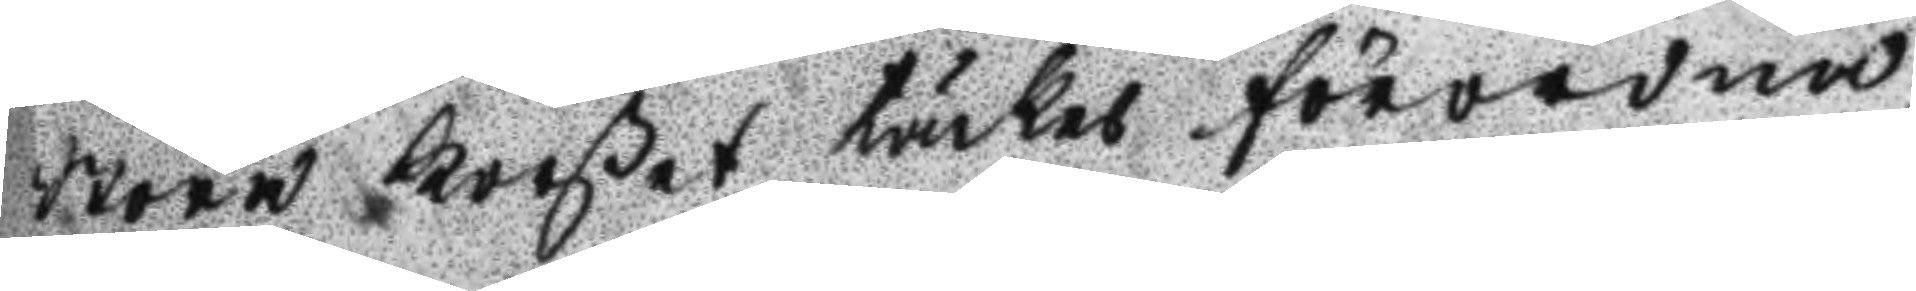stora Korßet täckes förordna,
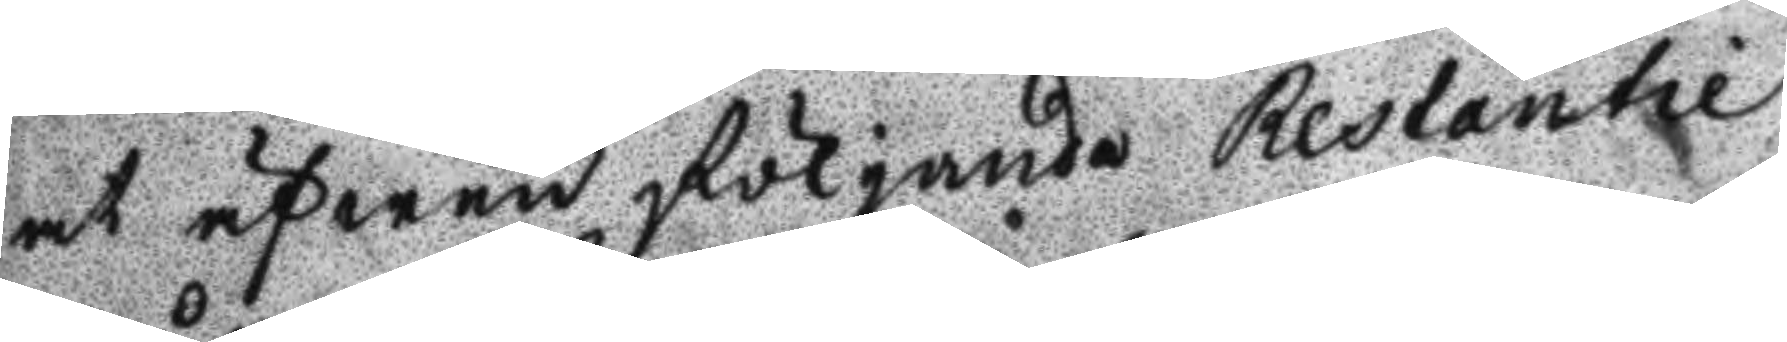at äfwen följande Restantie
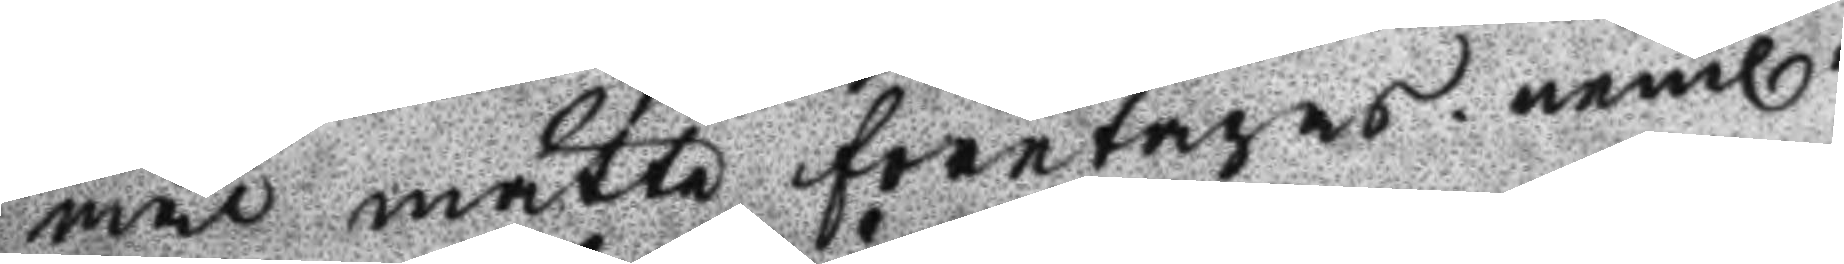mål måtte företgas. neml.
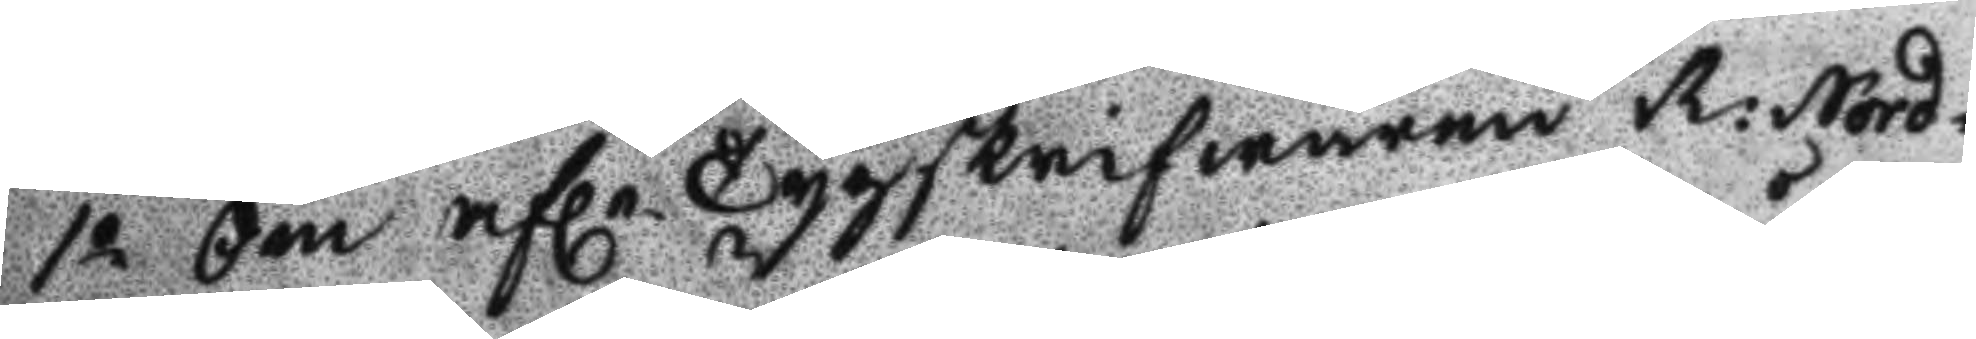1o Om afle Tygskrifwaren R: Nord¬
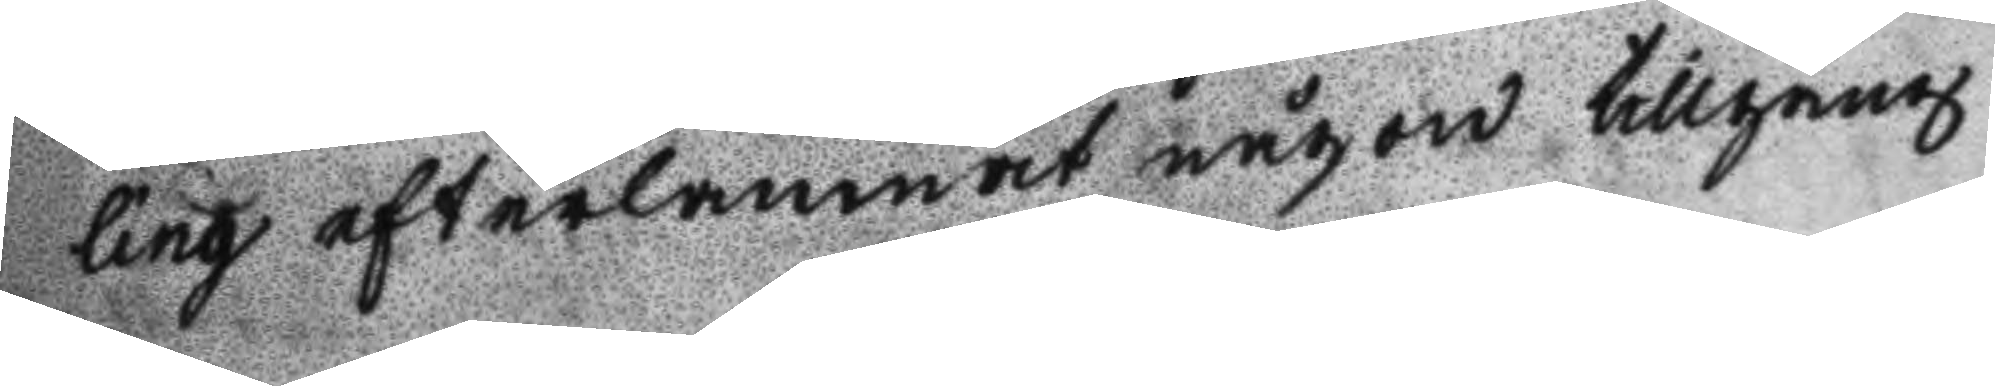ling efterlämnat någon tillgång
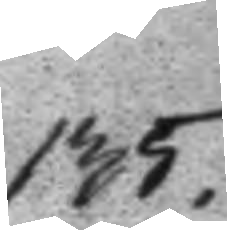135.
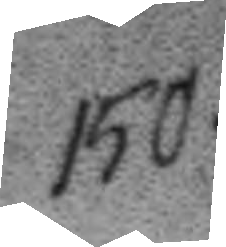150.
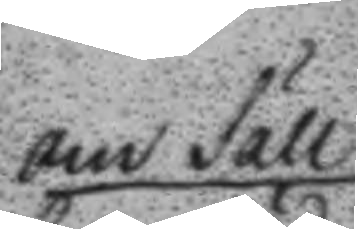om Säll¬
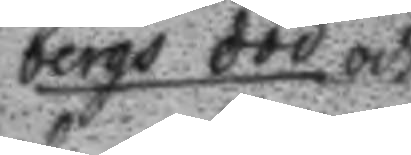bergs död och
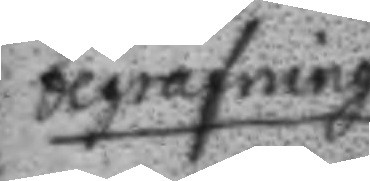begrafning
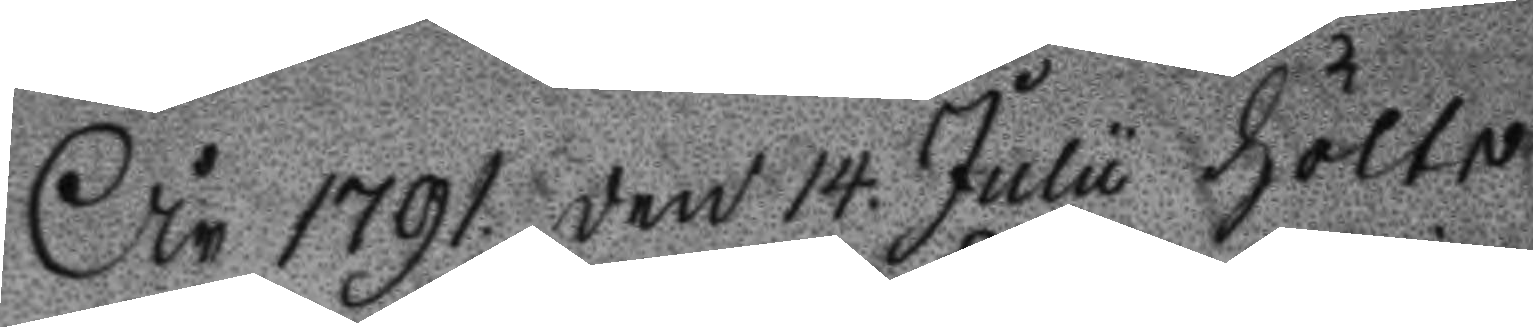År 1791 den 14. Julu hölts
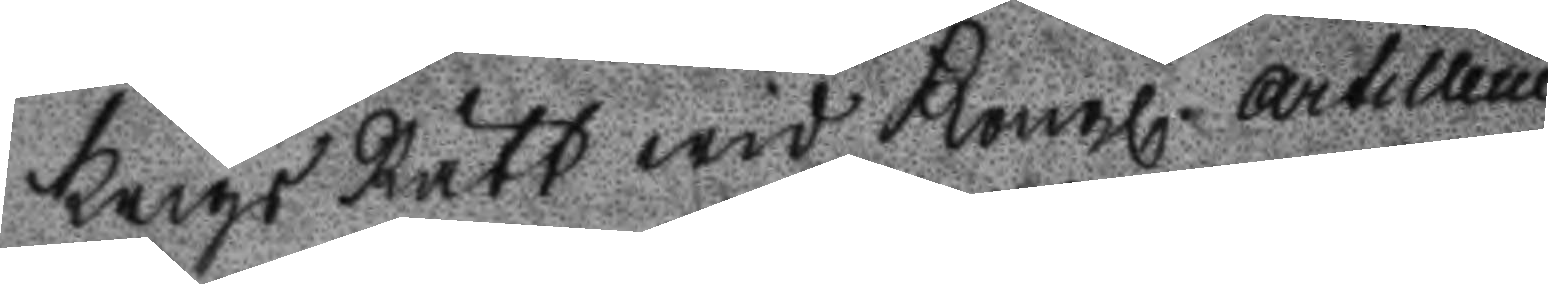krigs Rätt wid Kongl. Artillerie
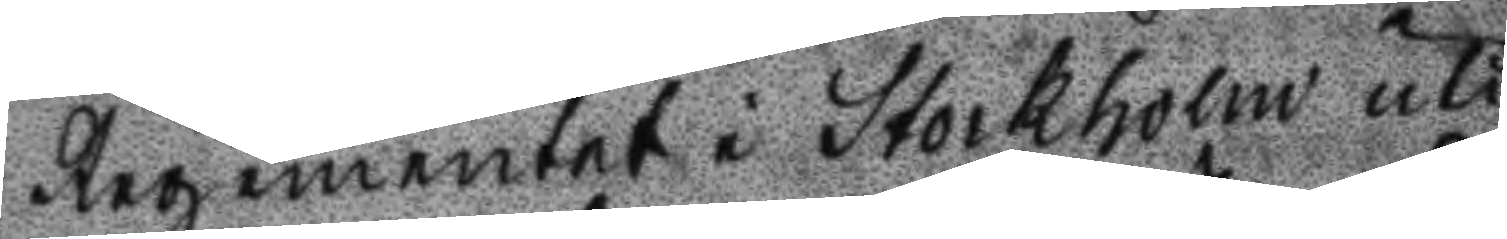regementet i Stockholm uti
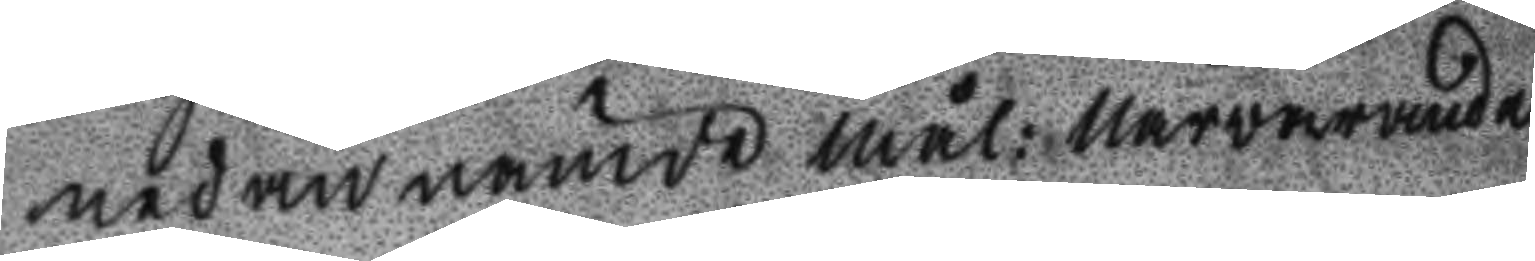nedannämde mål: Närwarande
